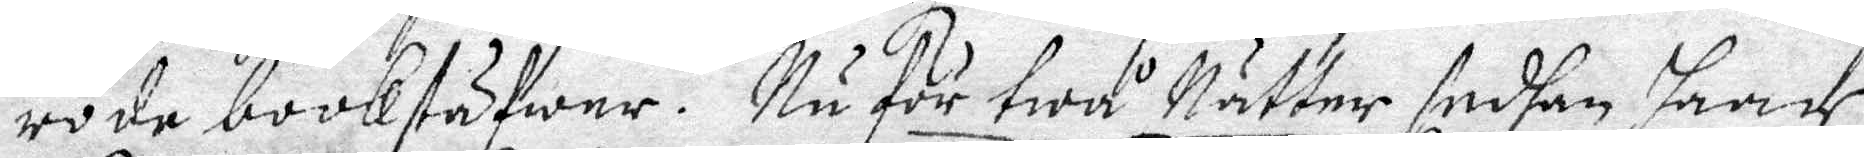rode bookstäfwer. Nu för twå Nätter sedhan haar
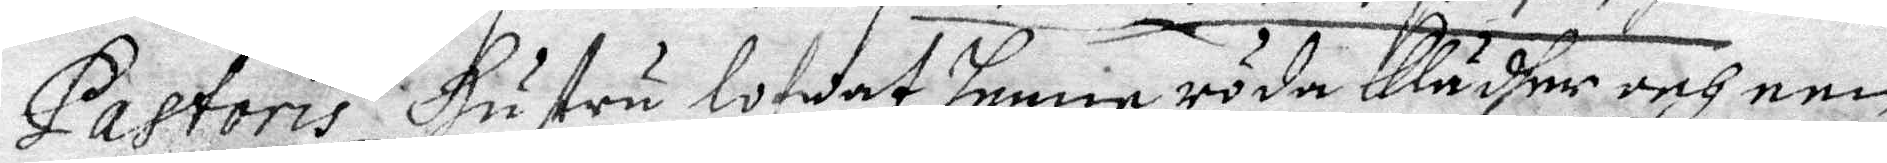Pastoris Hustru lowat henne röda Klädher och een
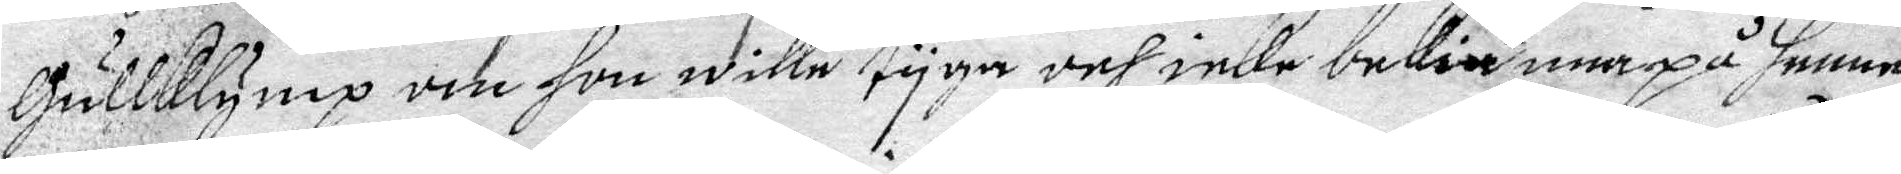Gullklymp om hon wille tyga och inke bekiänna på henne
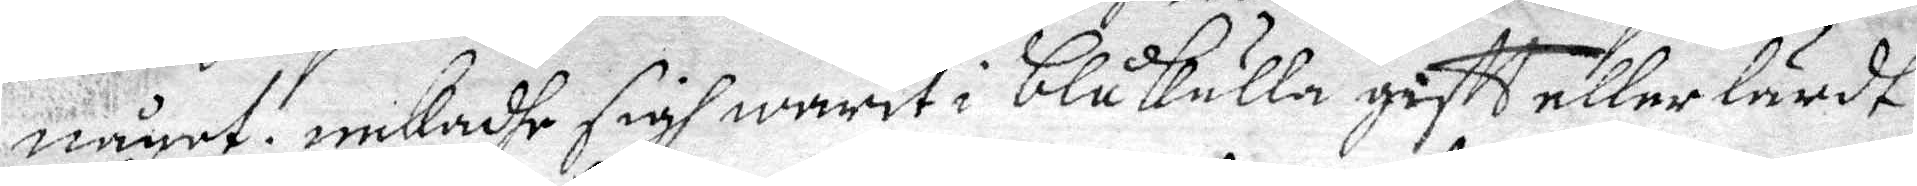någet. nekadhe sigh warit i Blåkulla gifft eller lärdt
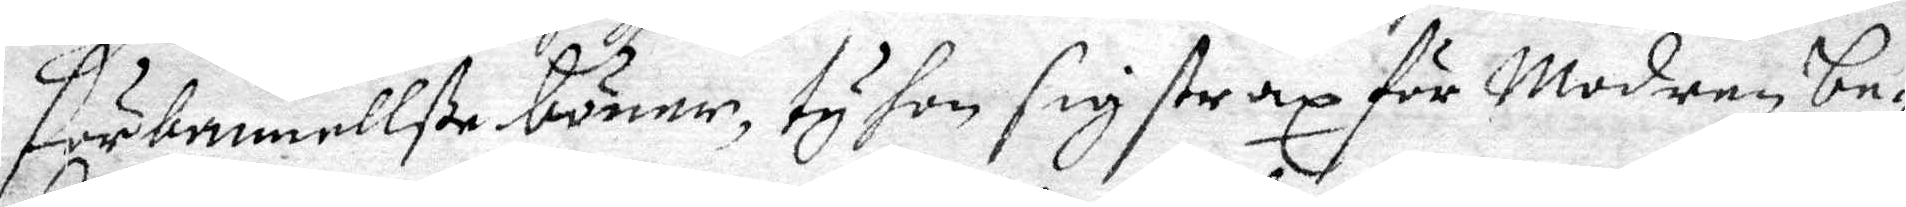förbannellße bäner, ty hon sig strax för Modren be¬
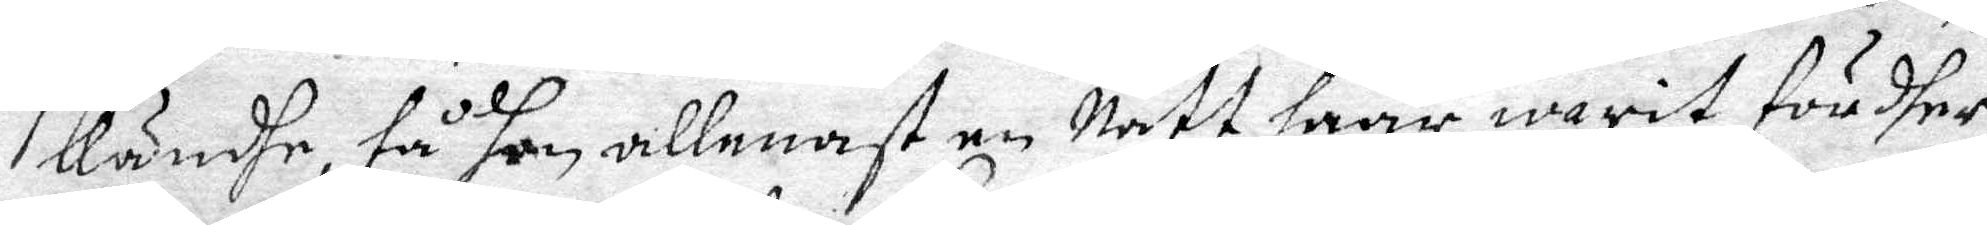Kändhe, tå hon allenast en Natt haar warit fördher.
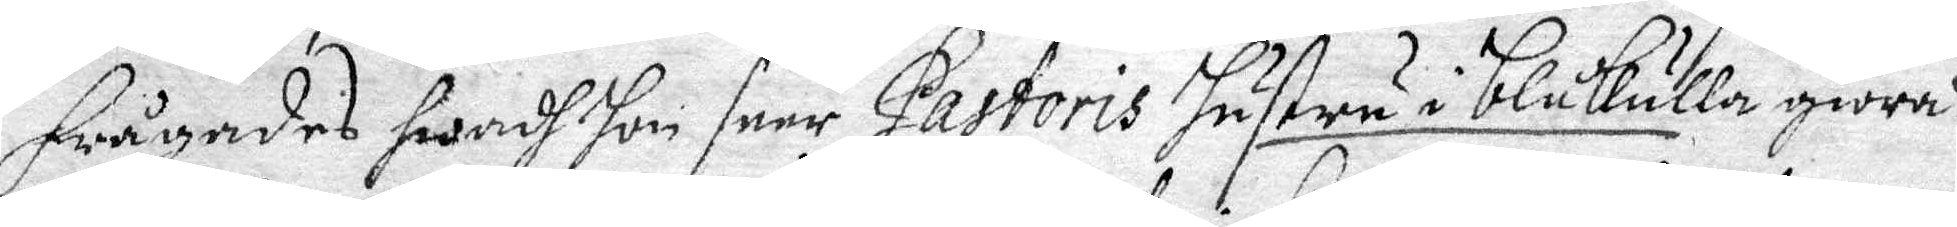Frågades hwadh hon seer Pastoris hustru i blåkulla giöra?
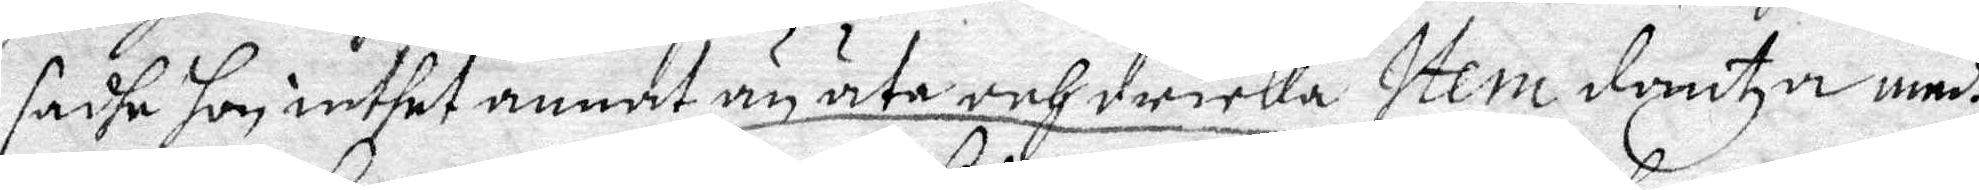sadhe hon inthet annat än äta och dricka Item dantza medh
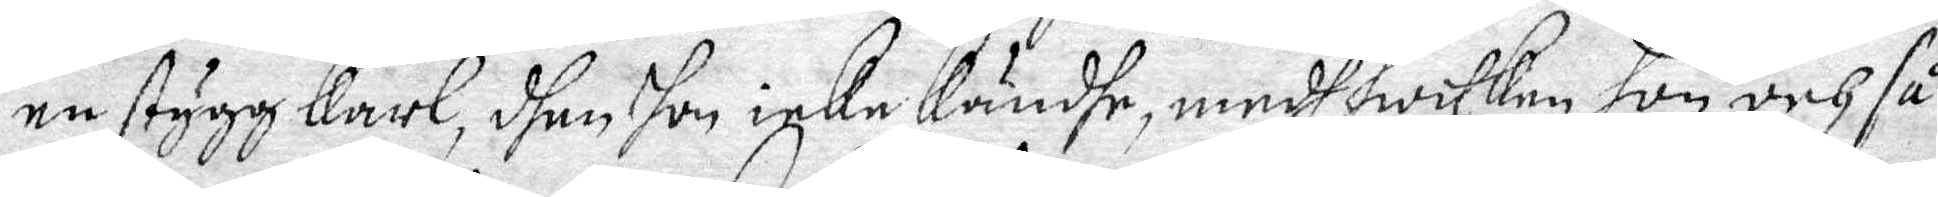en stygg karl, dhen hon icke Kändhe, medh hwillen hon och så 
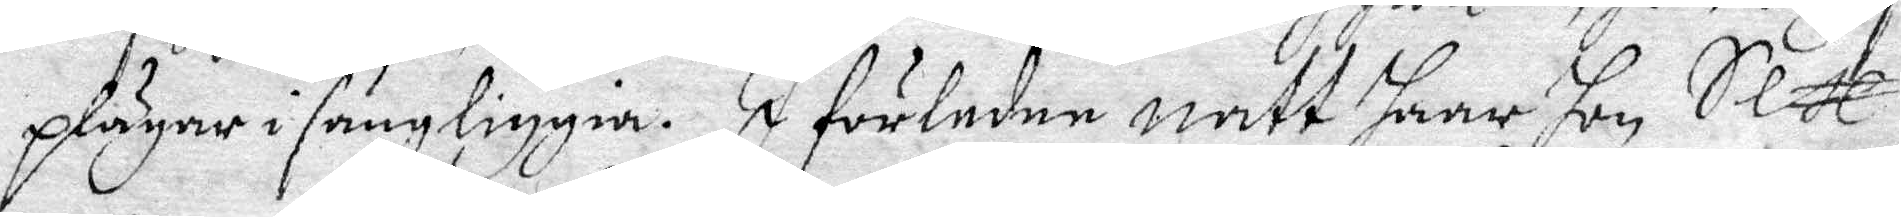plägar i sängliggia. I förledne natt haar hon Sex
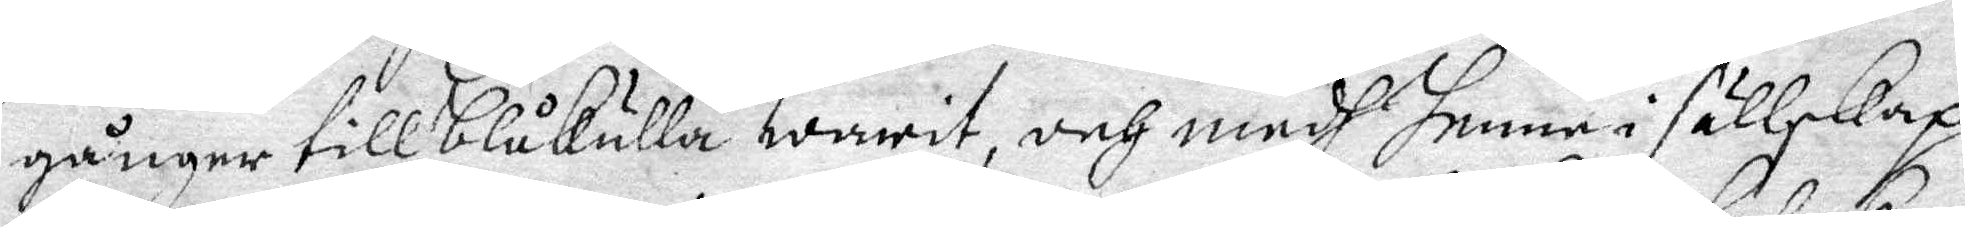gånger till Blåkulla warit, och medh henne i sällskap
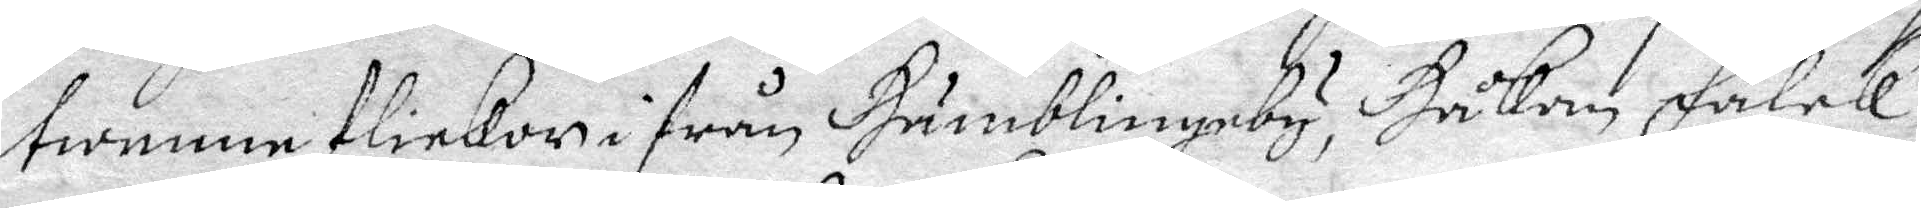twenne flickor ifrån Humblingeby, Håkan falek
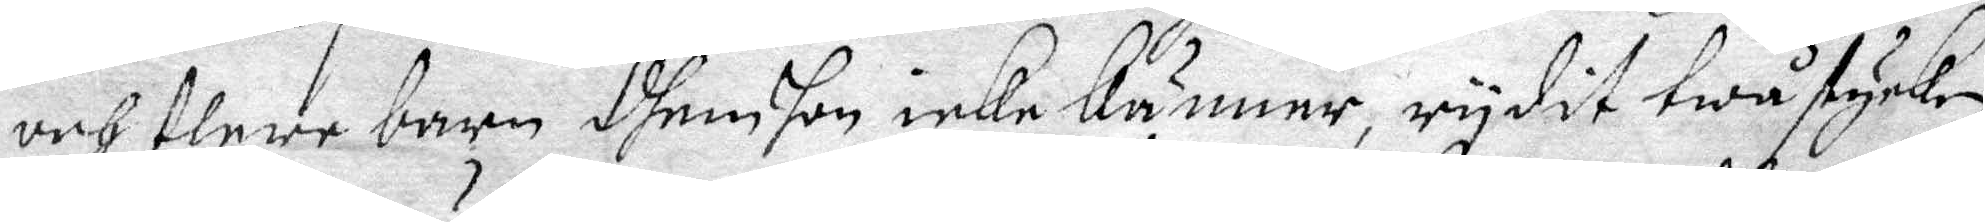och flere barn dhem hon icke känner, rydit twå stycken
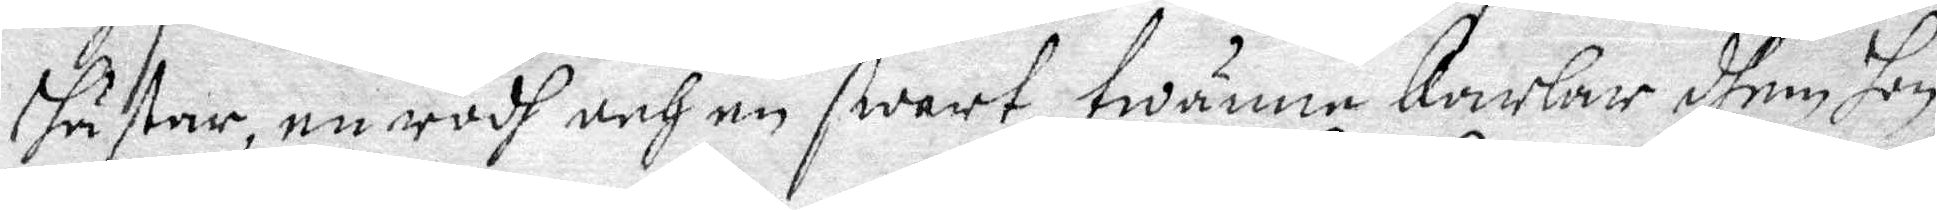hästar, en rödh och en swart, twänna Karlar dhem hon
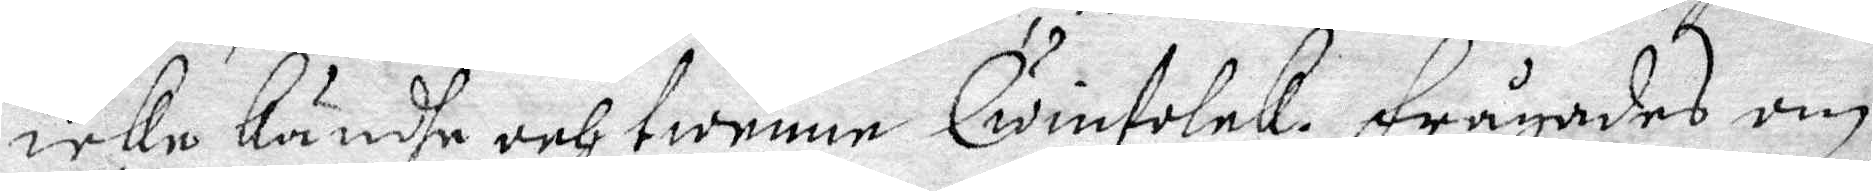icke Kände och twenne Qwinfolck. Frågades om
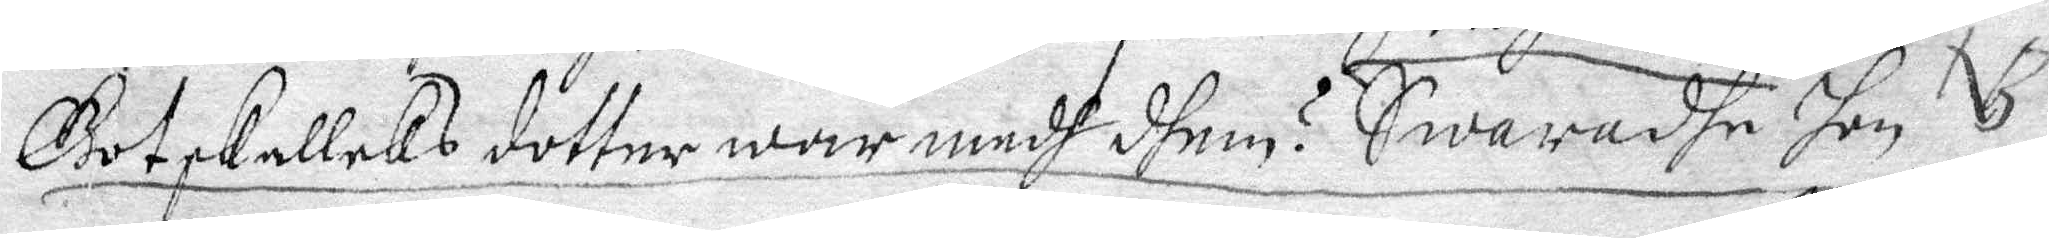Gotskallcks dotter war medh dhem? Swaradhe hen NB
